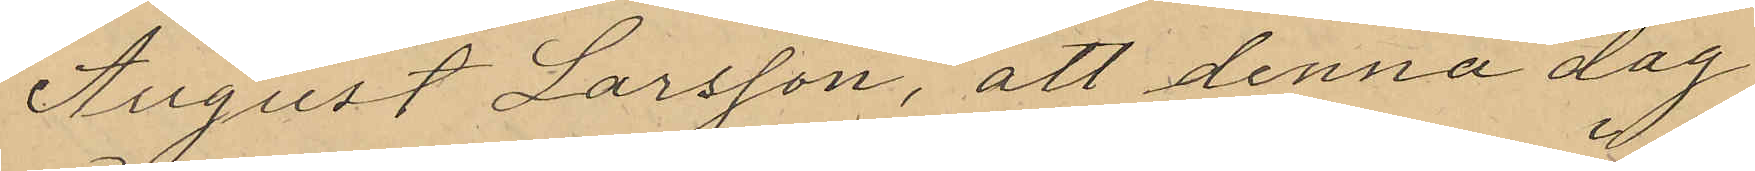August Larsson, att denna dag
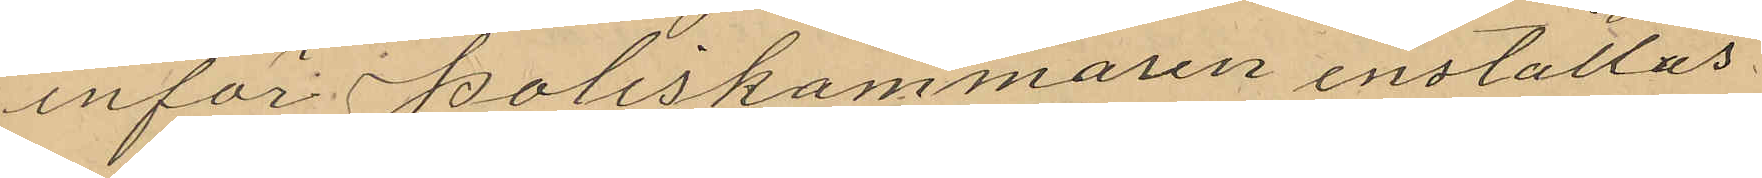inför Poliskammaren inställas
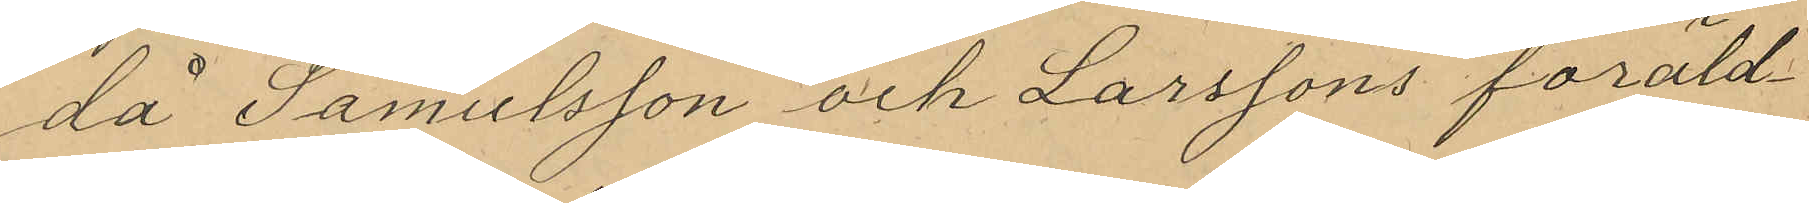då Samulsson och Larssons föräld¬
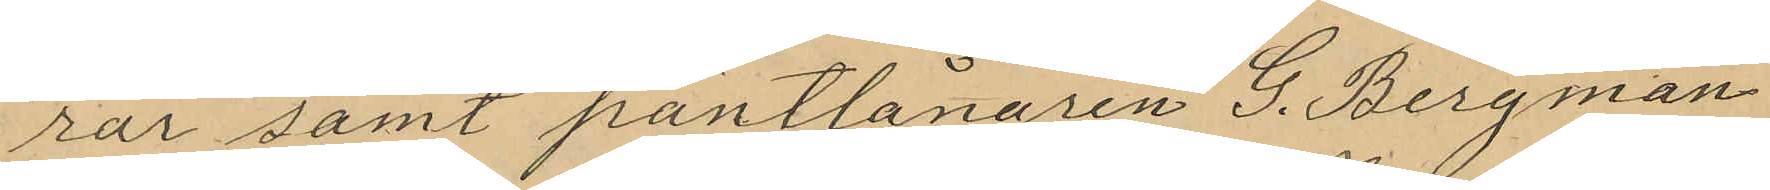rar samt pantlånaren G. Bergman
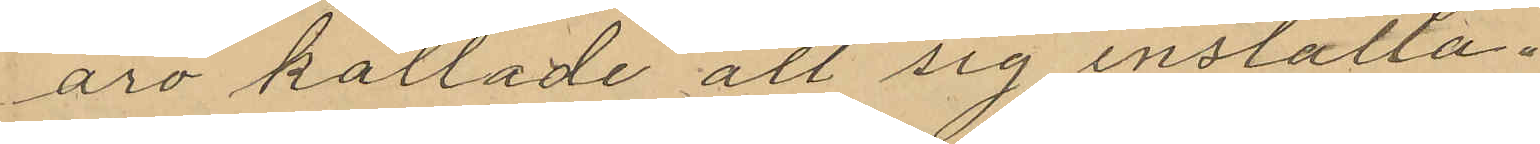äro kallade att sig inställa.
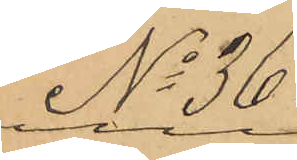No 36.
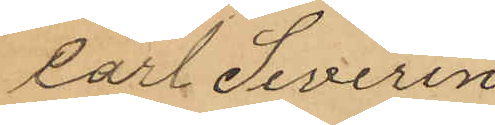Carl Severin
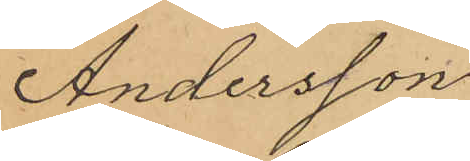Andersson
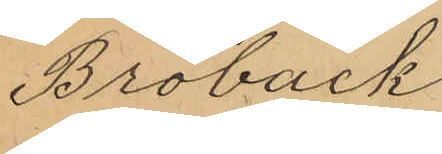Broback
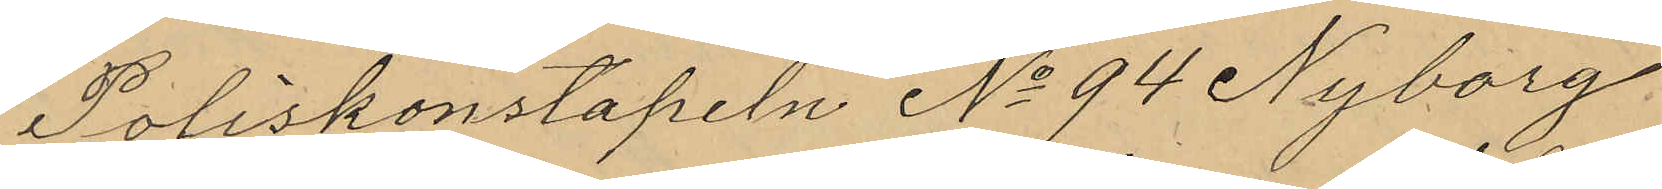Poliskonstapeln No 94 Nyborg,
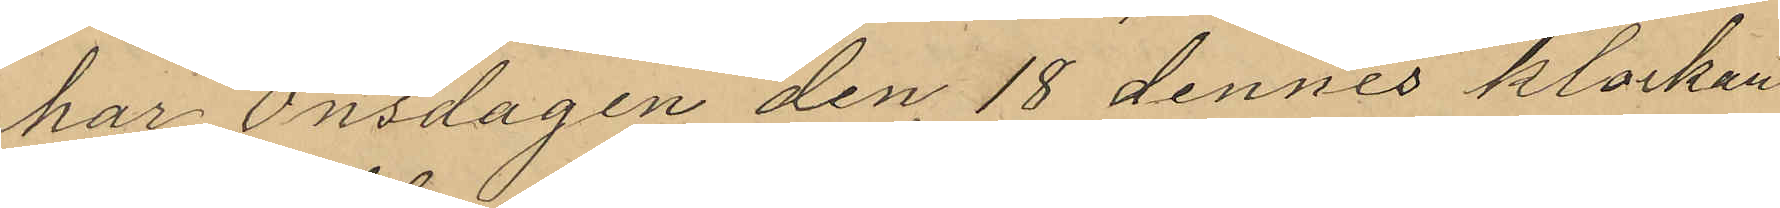har Onsdagen den 18 dennes klockan
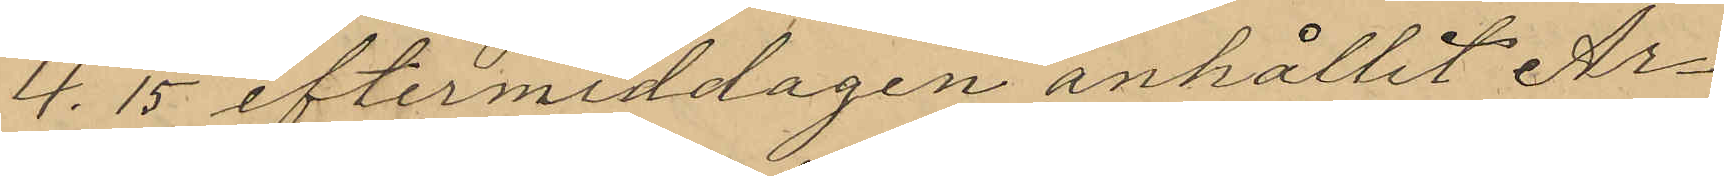4.15 eftermiddagen anhållit Ar¬
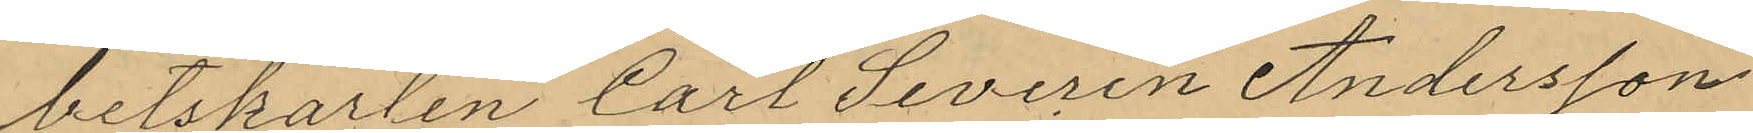betskarlen Carl Severin Andersson
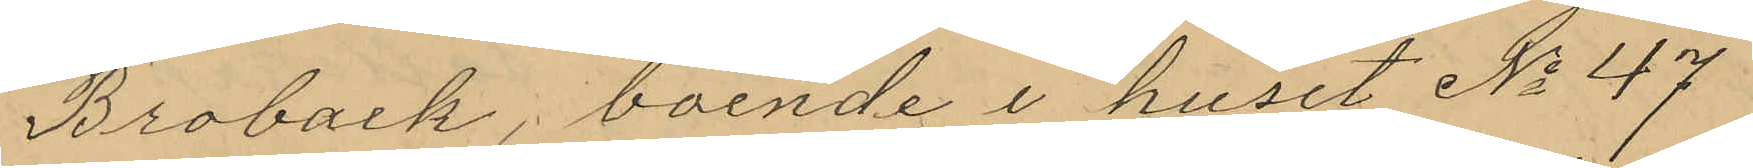Broback, boende i huset No 47
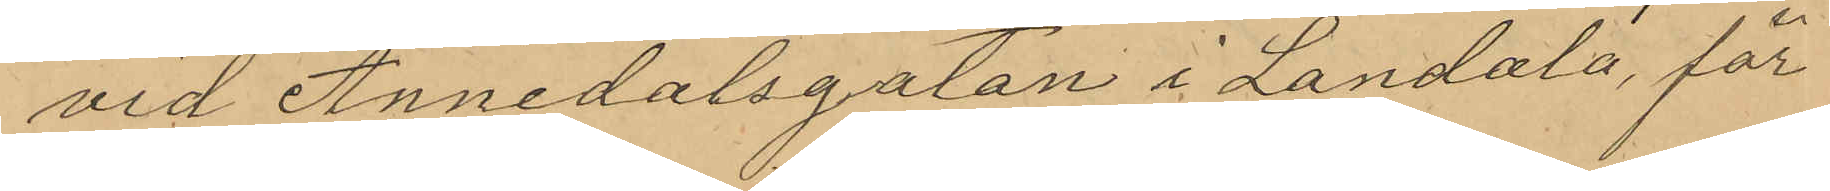vid Annedalsgatan i Landala, för
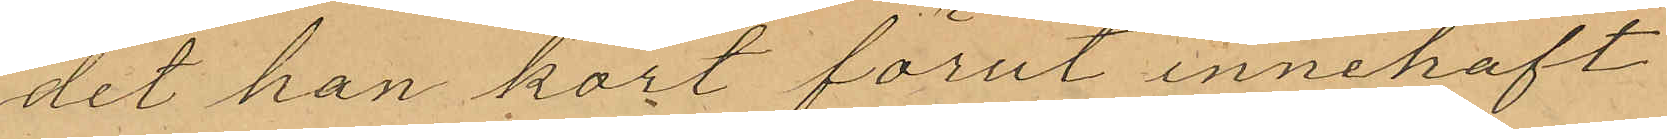det han kort förut innehaft
